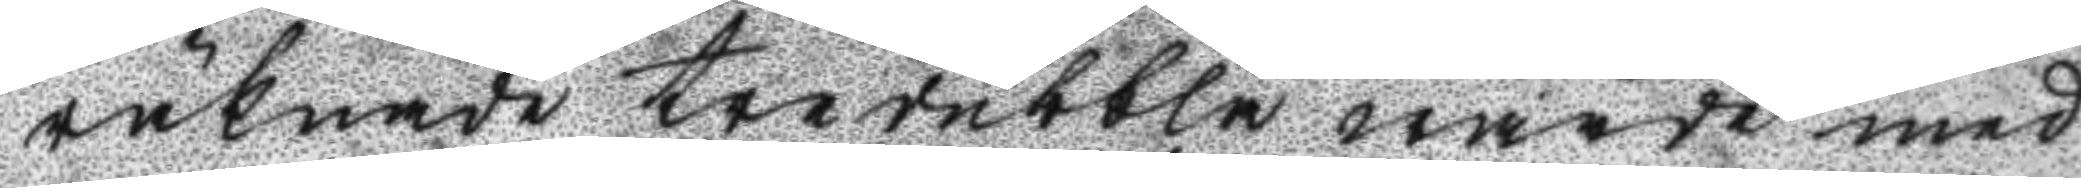räknade tredubbla wärde med
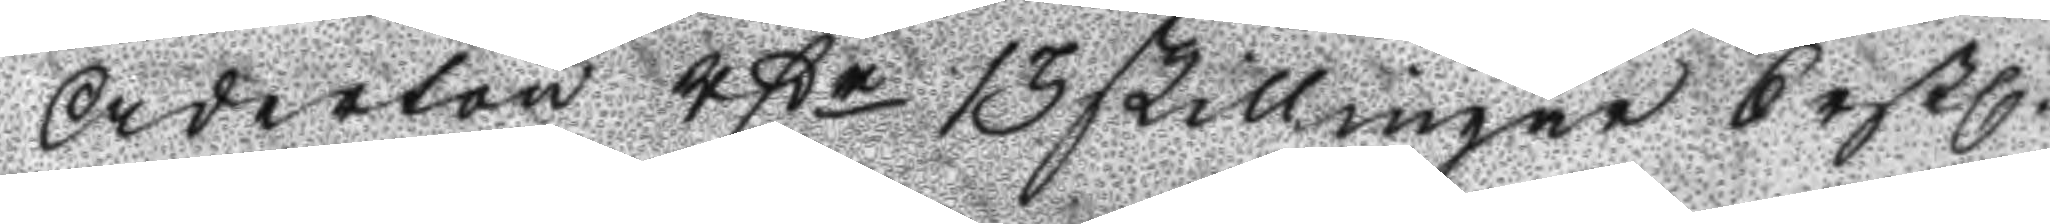Aderton rßr 13 skillingar 6 rßl.
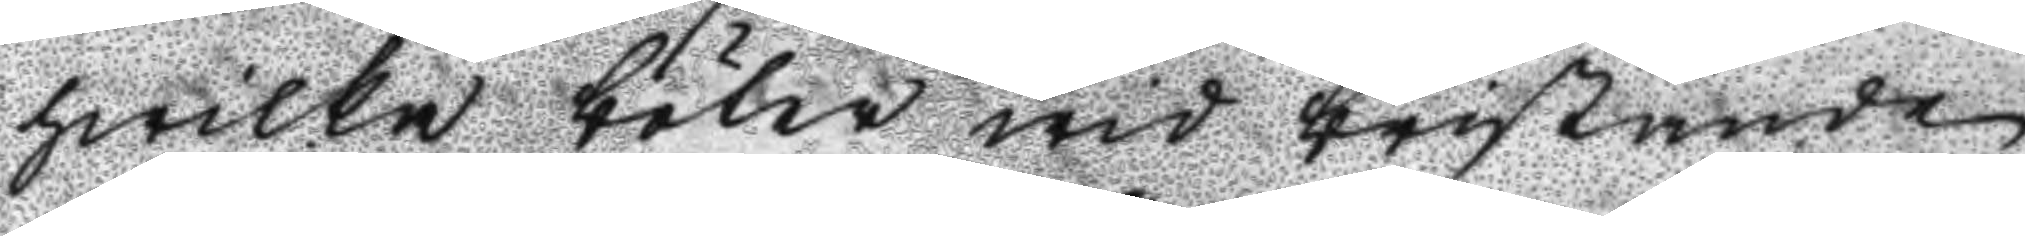hwilka böter wid bristande
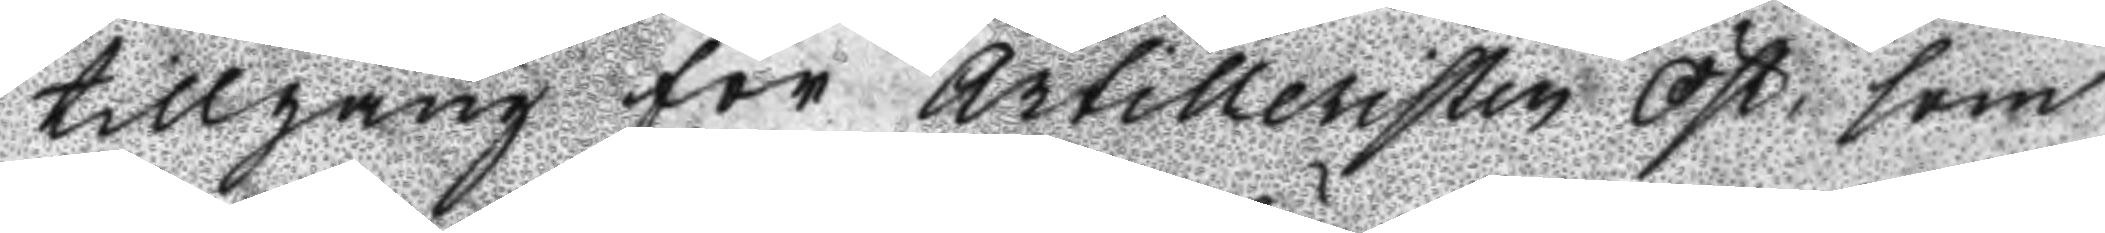tillgång för Artilleristen Öst, som
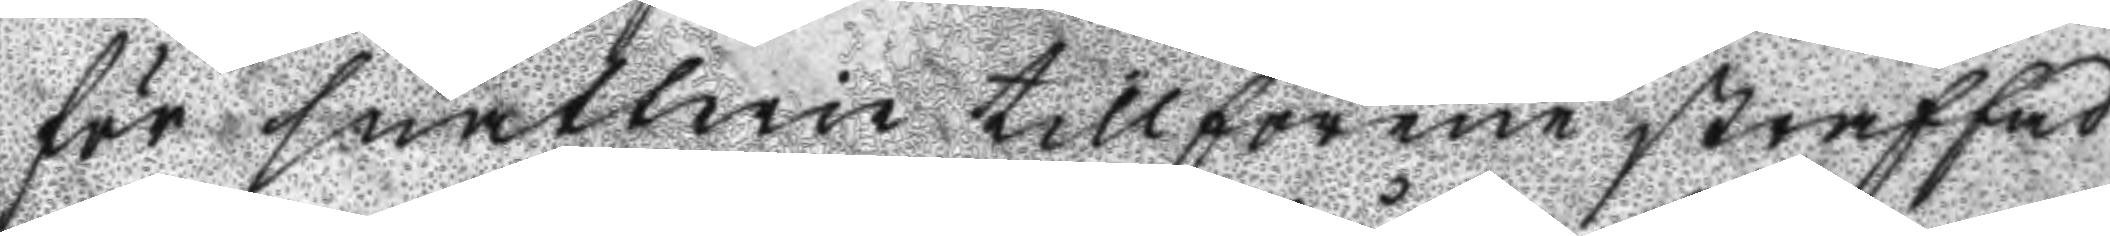för snatterie tillförene straffad
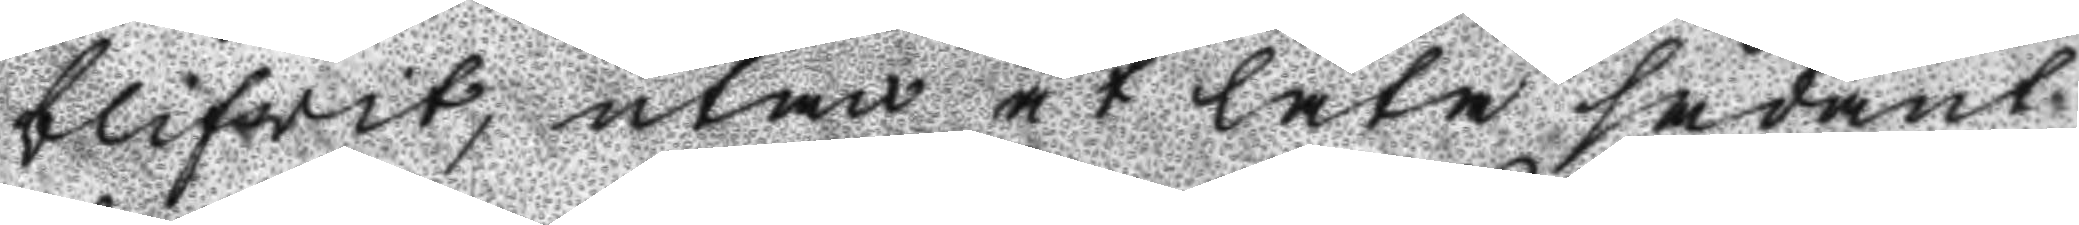blifwit, utan at låta sådant
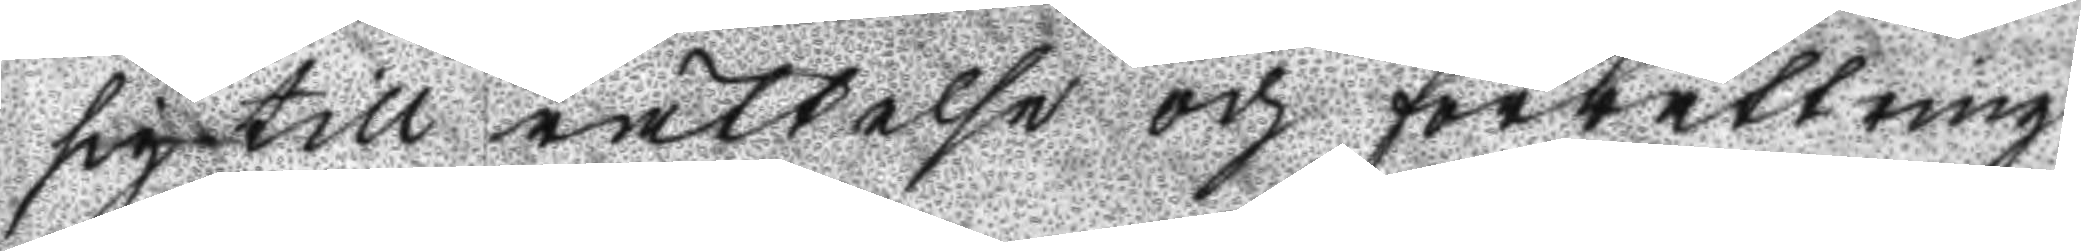sig till rättelse och förbättring
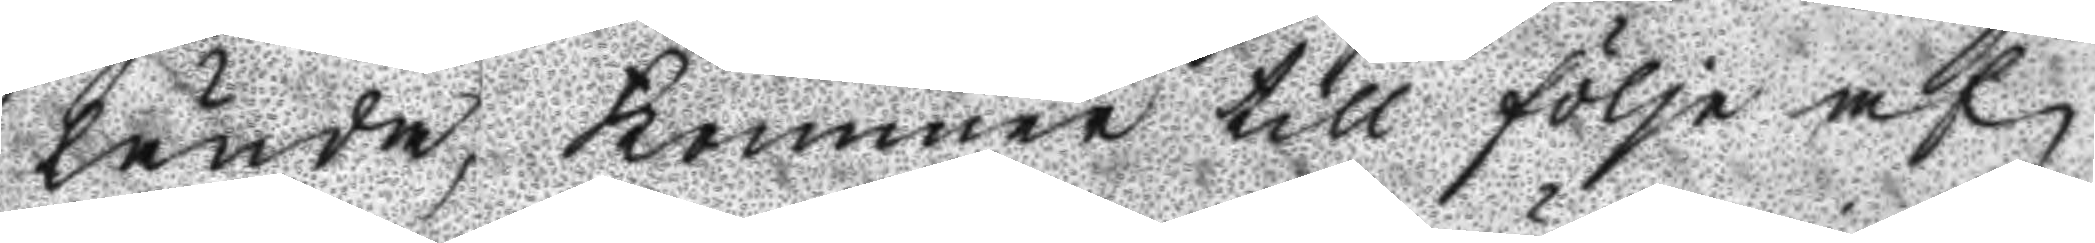lända, kommer till följe af
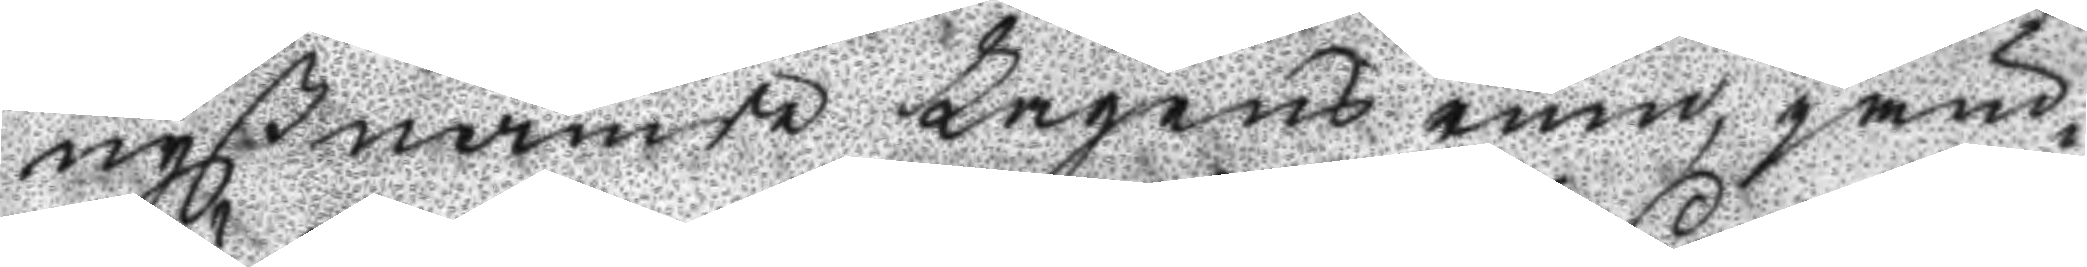nyßnämde Lagens rum, jäm¬
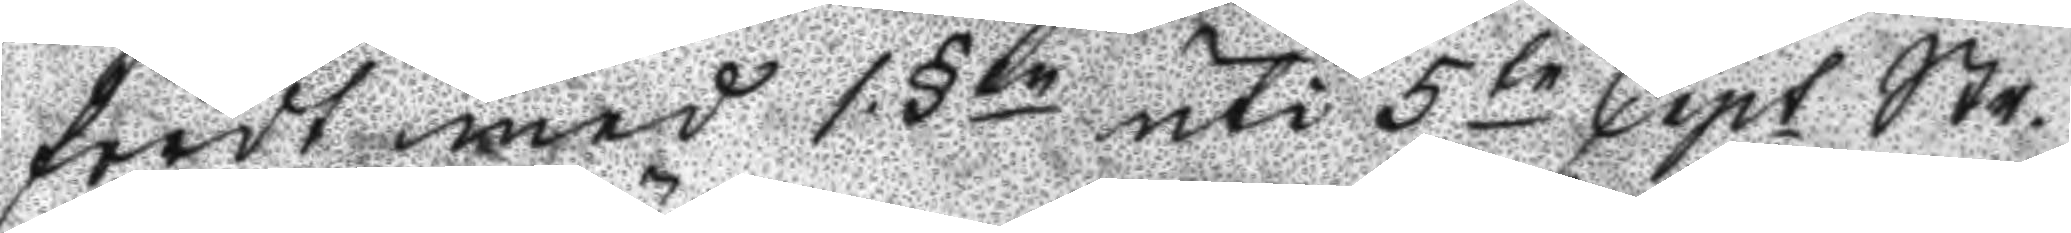först med 1.§en uti 5 te Capt Str.
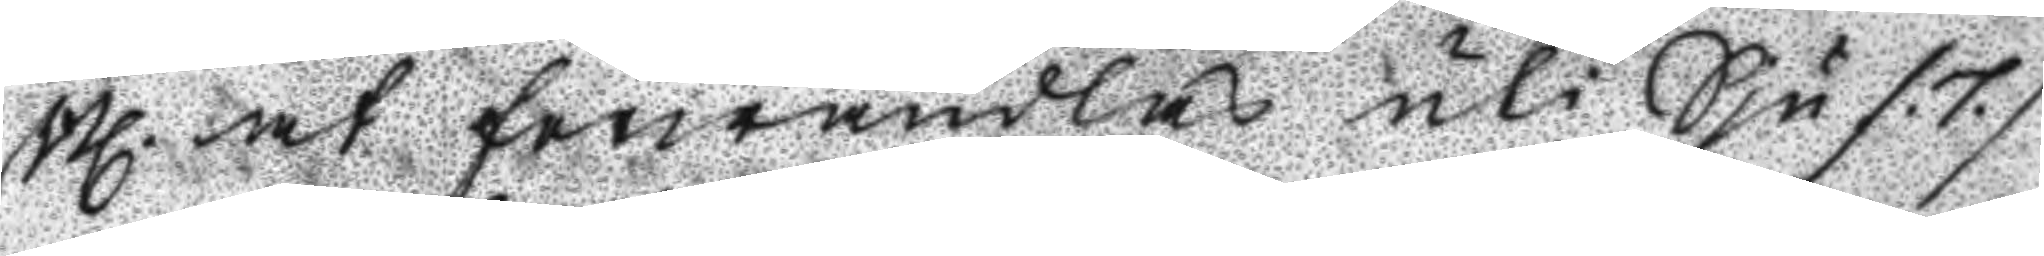Bl. at förwandlas uti Sju /.7./
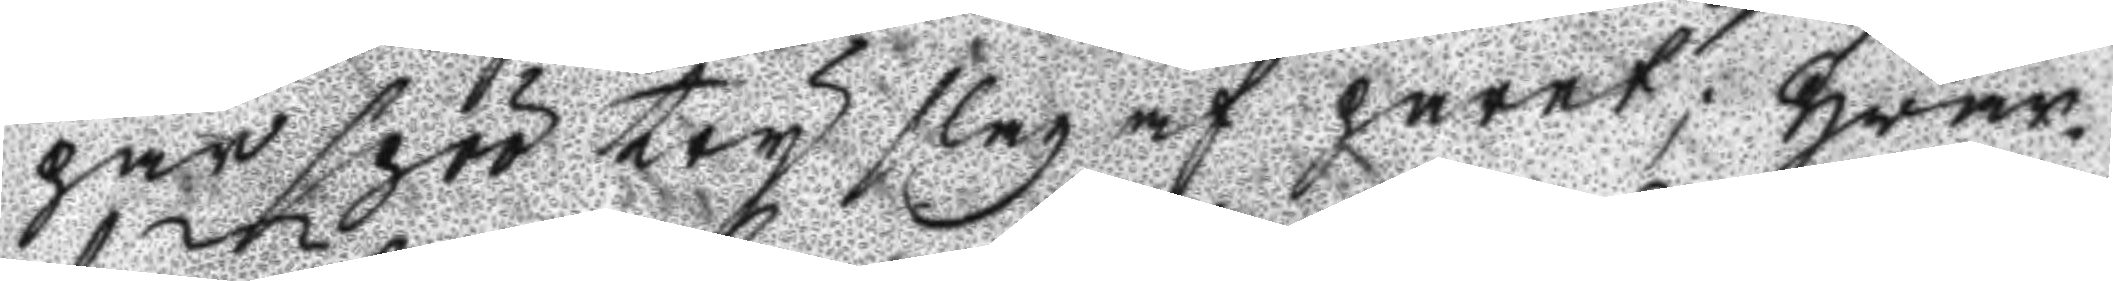par spöö try slag af paret; Hwar¬
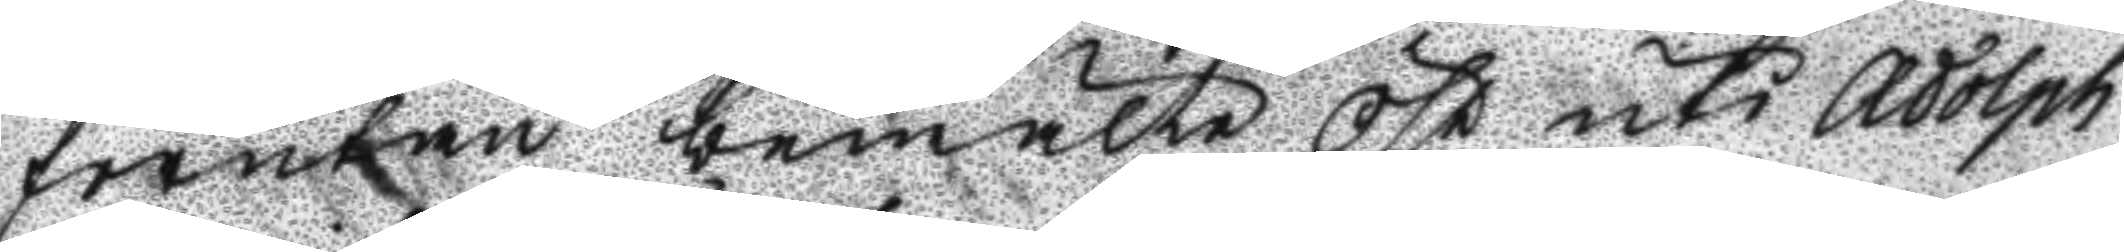förutan bemälte Öst uti Adolph
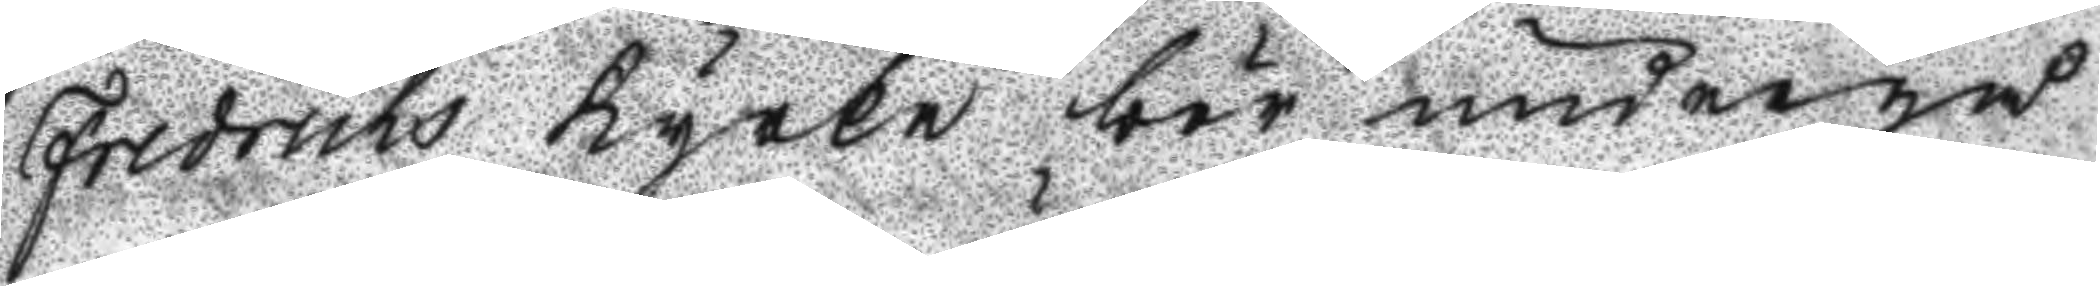Fredricks Kyrka bör undergår
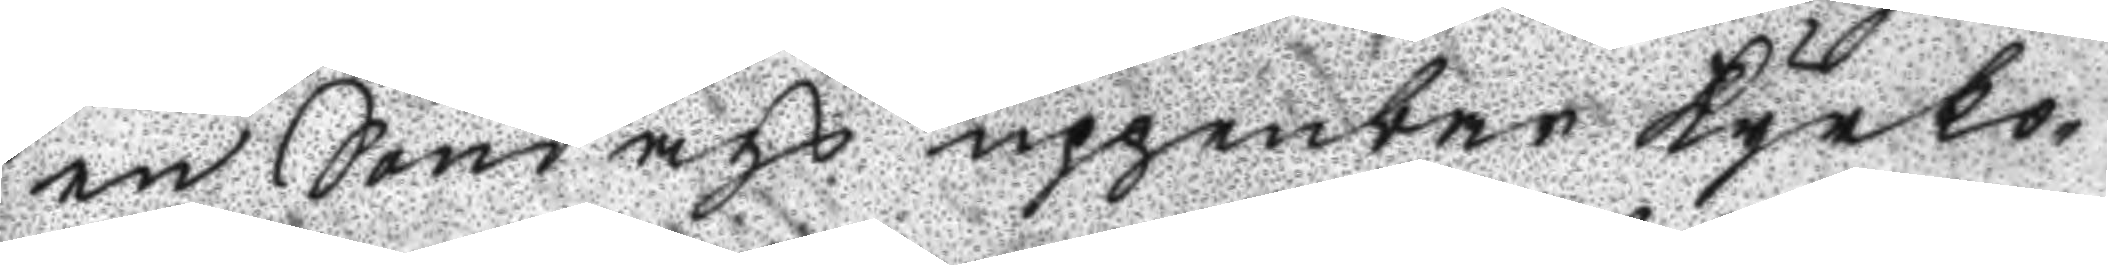en Söndags uppenbar Kyrko¬
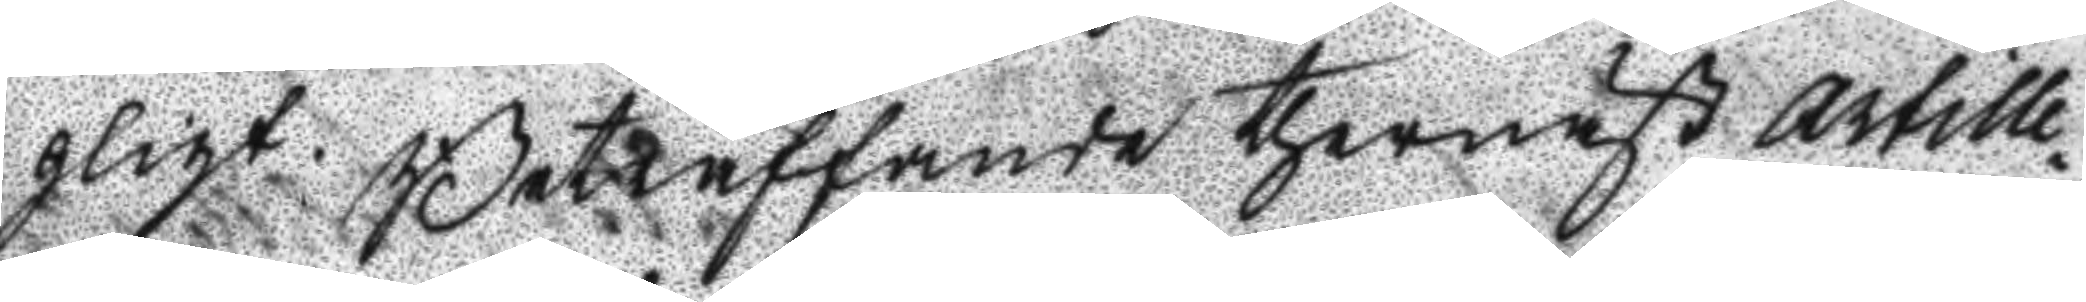pligt. Beträffande thernäst Artille¬
